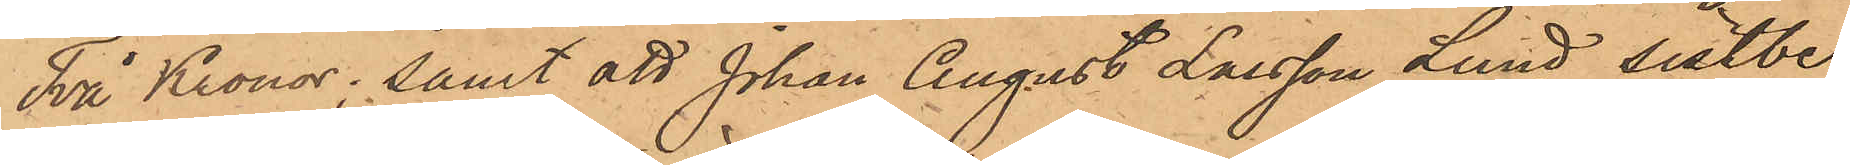Två Kronor; samt att Johan August Larsson Lund sistbe¬
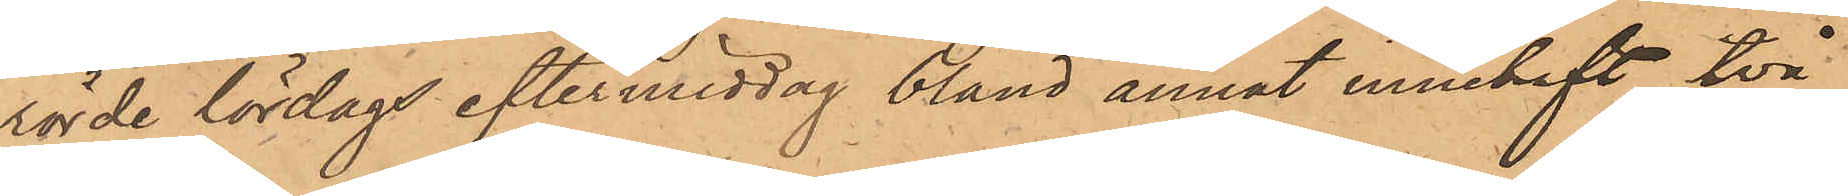rörde lördags eftermiddag bland annat innehaft två
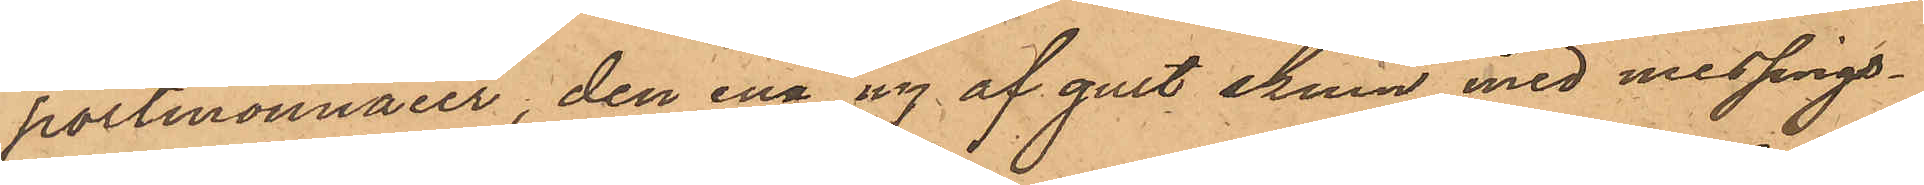portmonnaier, den ena ny af gult skinn med messings¬
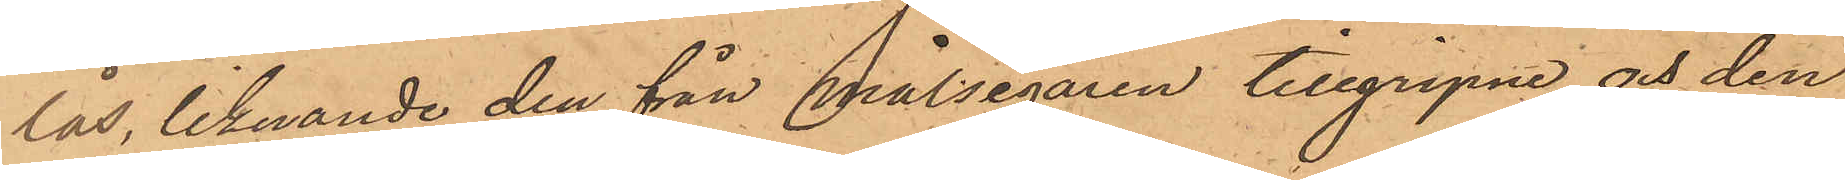lås, liknande den från målsegaren tillgripne och den
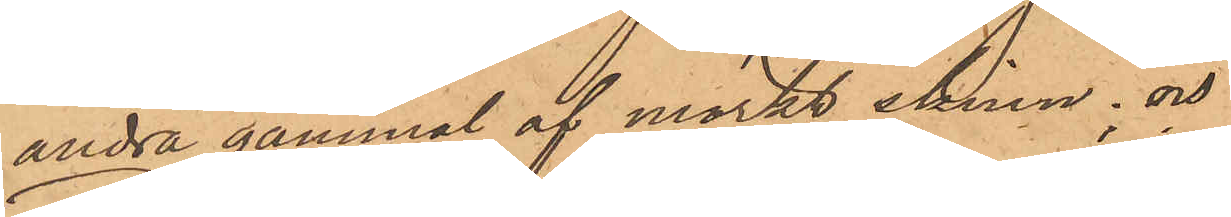andra gammal af mörkt skinn, och
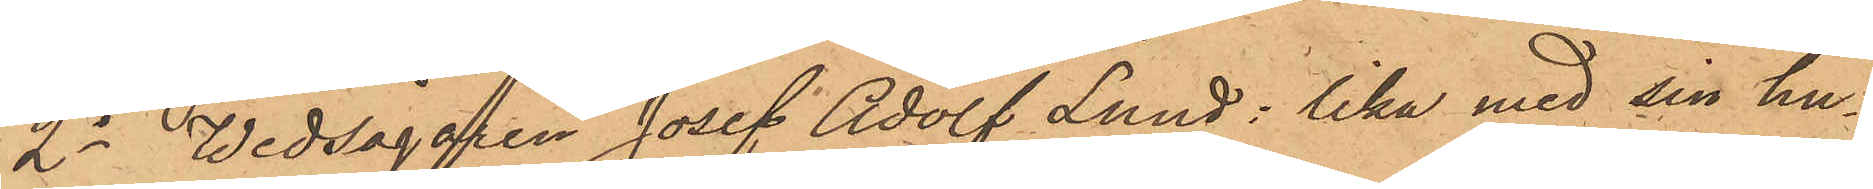2o Wedsågaren Josef Adolf Lund: lika med sin hu¬
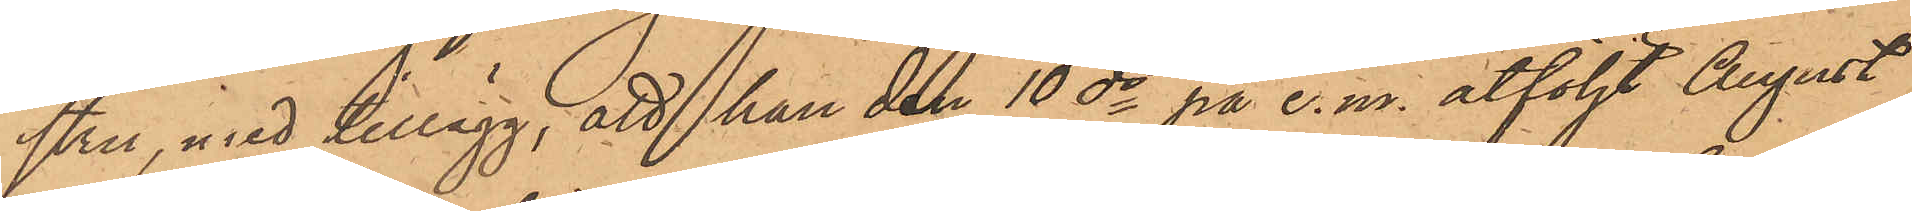stru, med tillägg, att han den 10 ds på e. m. åtföljt August
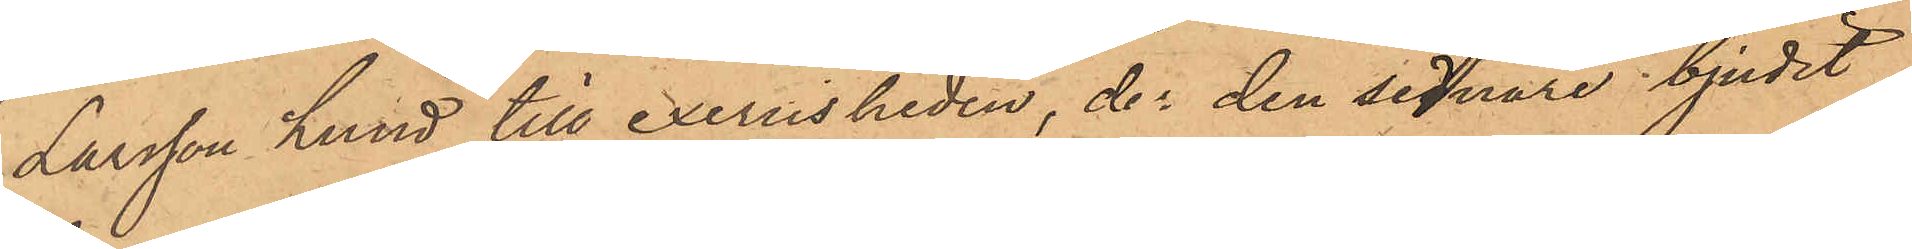Larsson Lund till exercisheden, der den sednare bjudit
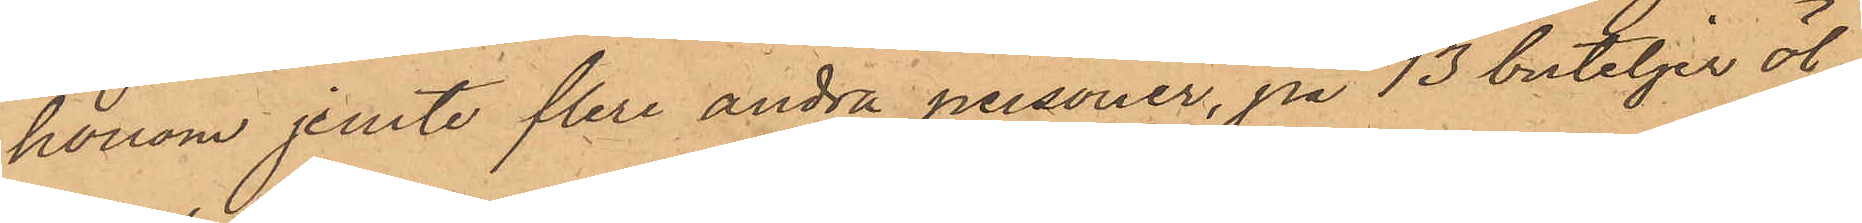honom jemte flera andra personer, på 13 buteljer öl;
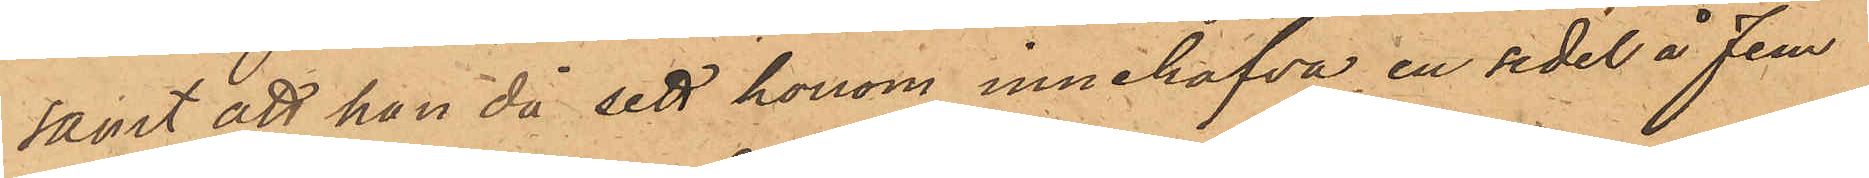samt att han då sett honom innehafva en sedel å fem
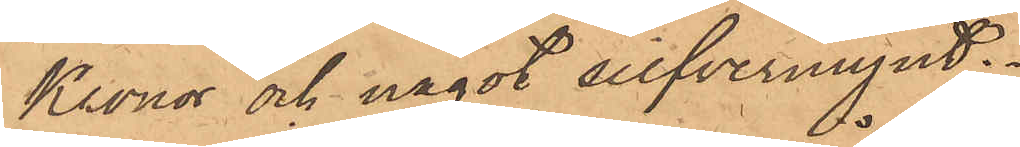Kronor och något silfvermynt.
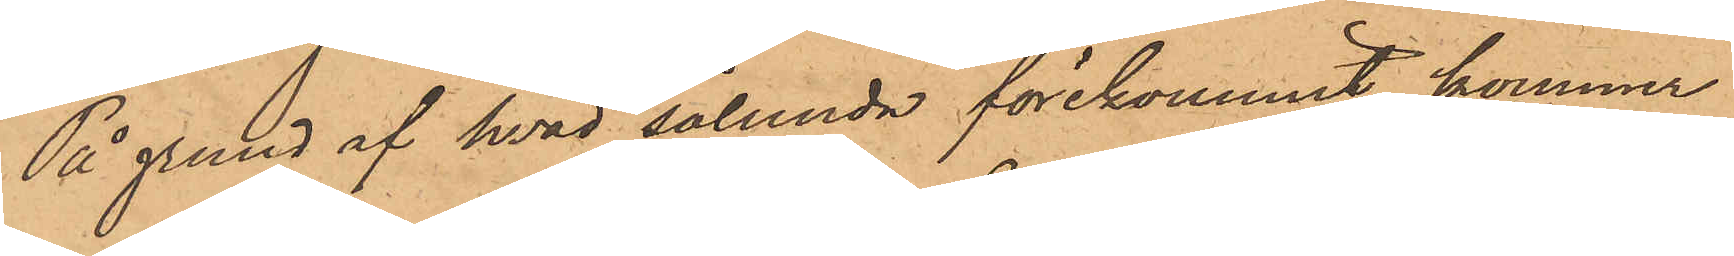På grund af hvad sålunda förekommit, kommer
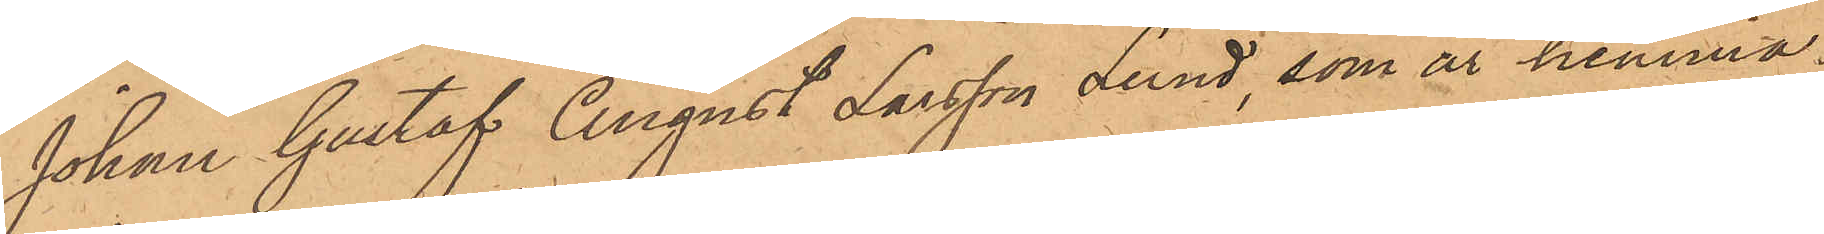Johan Gustaf August Larsson Lund, som är hemma¬
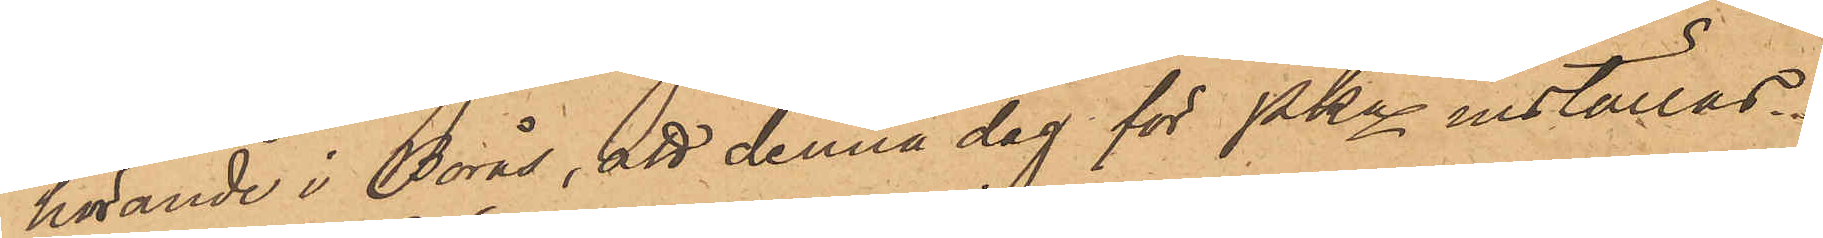hörande i Borås, att denna dag för Pkn inställas.
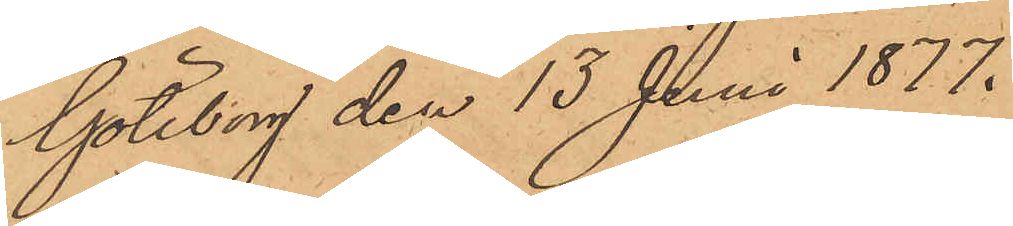Göteborg den 13 Juni 1877.
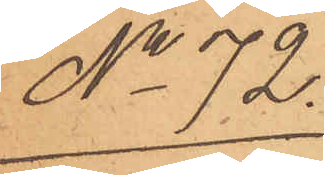No 72
